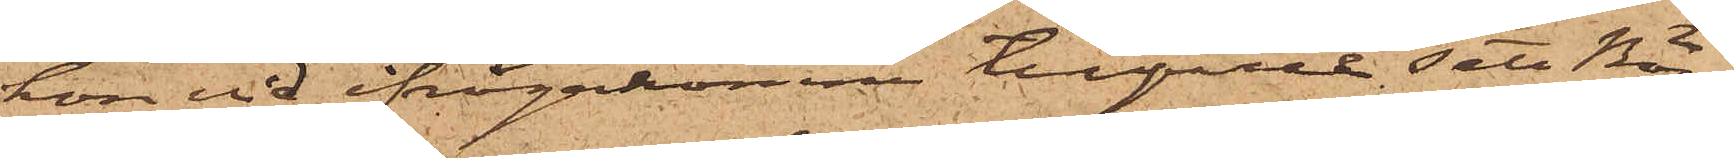hon vid ifrågakomne tillfälle sett Bör¬
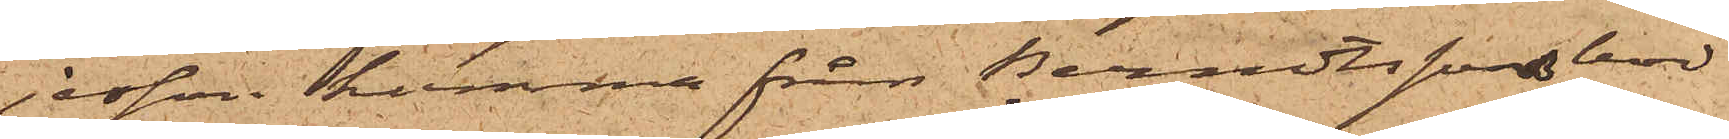jesson komma från Berndtssons bod
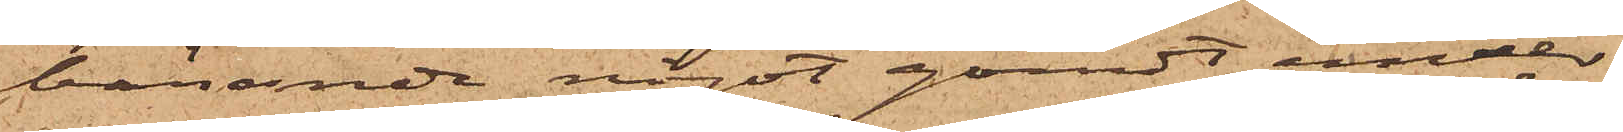bärande något gömdt under
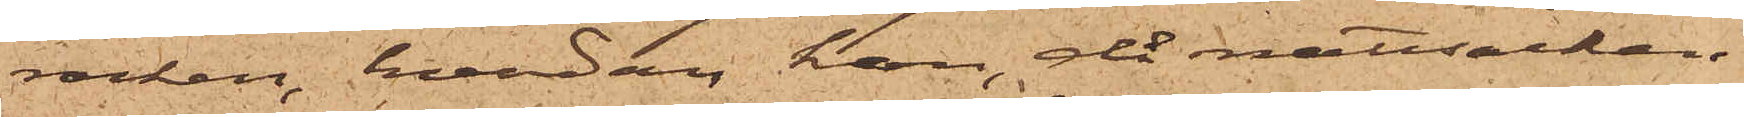rocken, hvadan hon, då nattsäcken
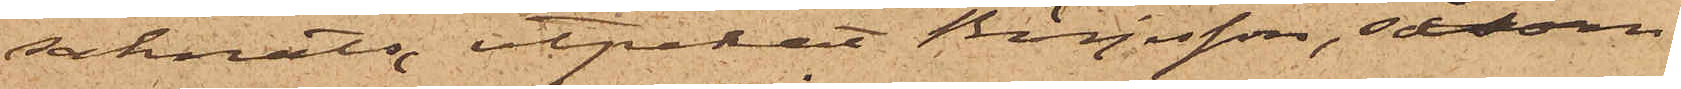saknats, utpekat Börjesson, såsom
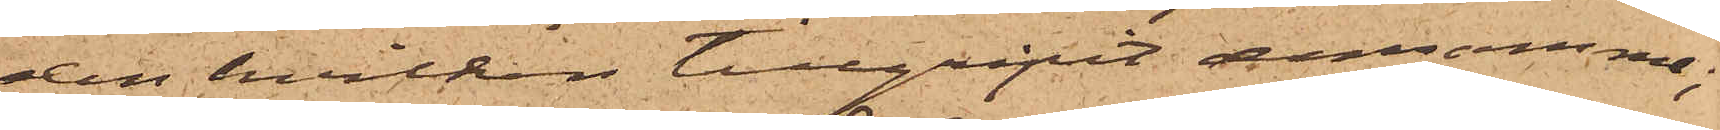den hvilken tillgripit densamma;
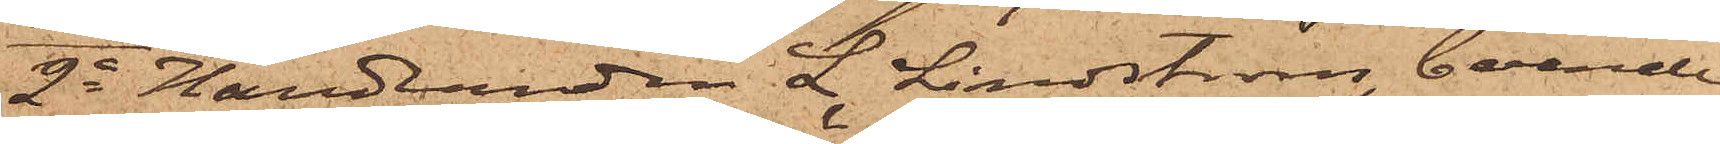2o Handlanden L. Lindström, boende
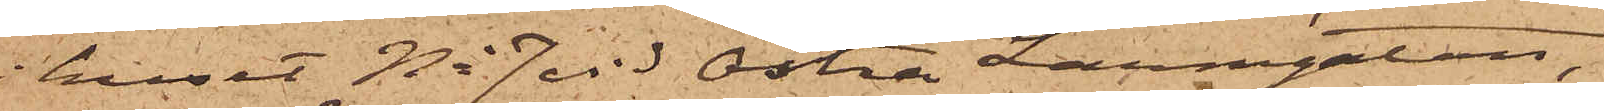i huset No 7 vid Östra Larmgatan,
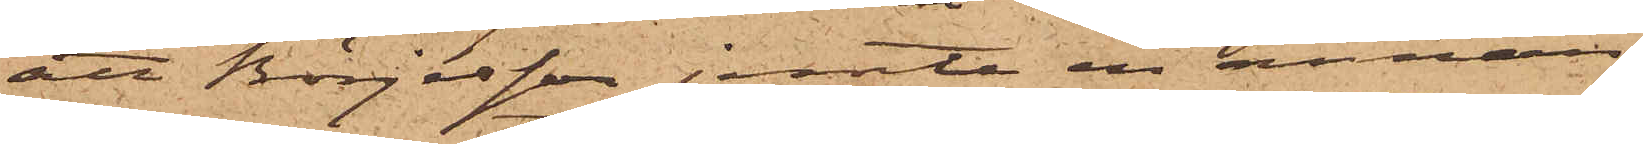att Börjesson jemte en annan
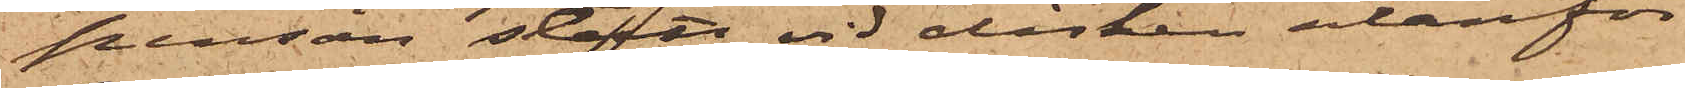person stått vid disken utanför
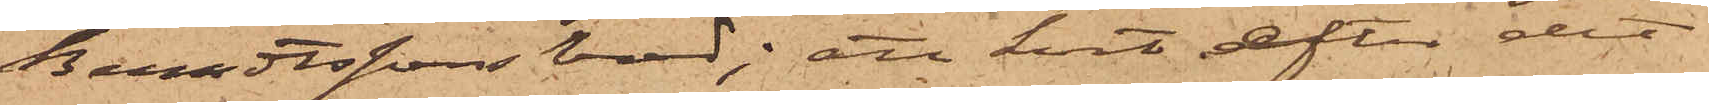Berndtssons bord; att kort efter det
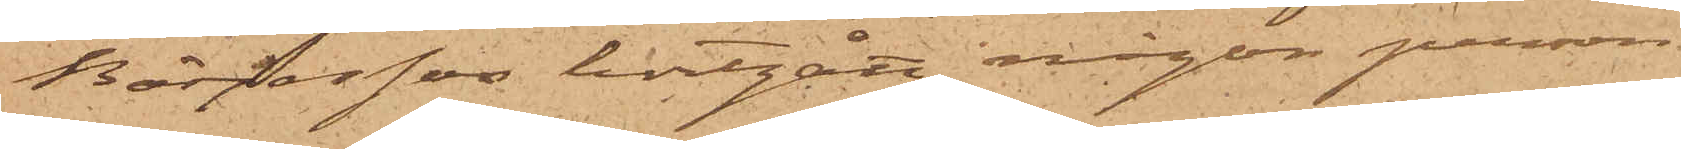Börjesson bortgått, någon person
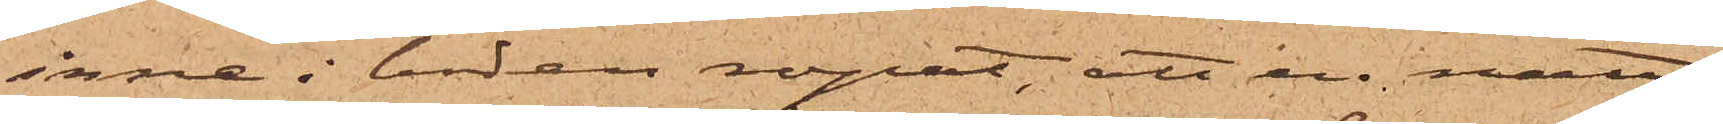inne i boden ropat, att en natt¬
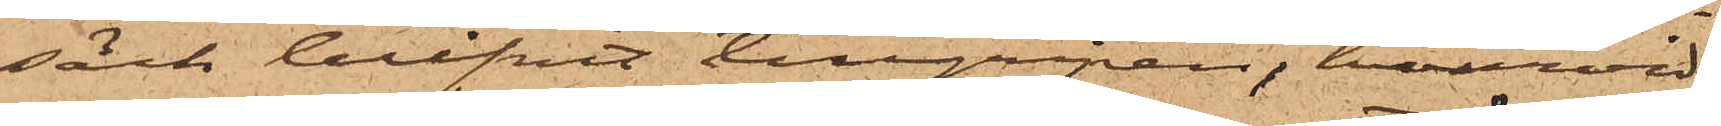säck blifvit tillgripen, hvarvid
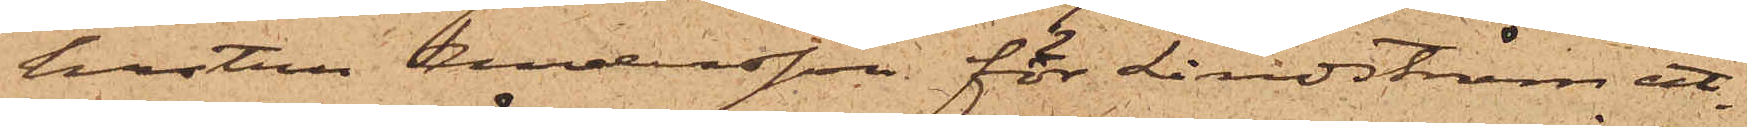hustru Andersson för Lindström ut¬
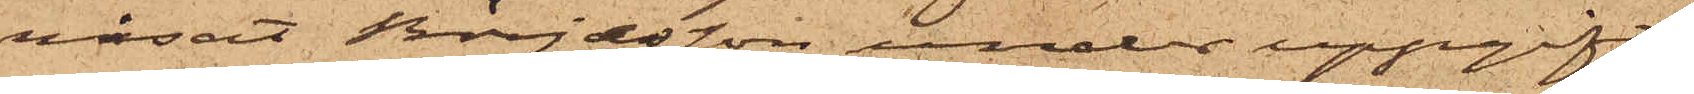visat Börjesson under uppgift
